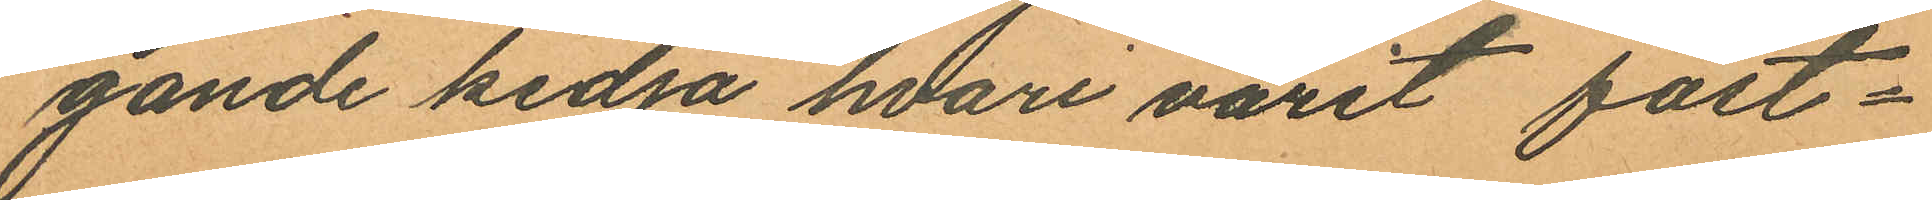gande kedja hvari varit fast¬
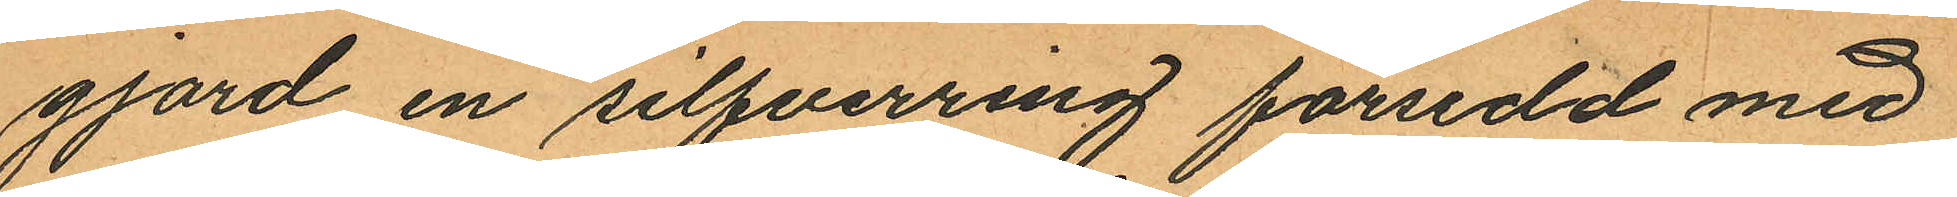gjord en silfverring försedd med
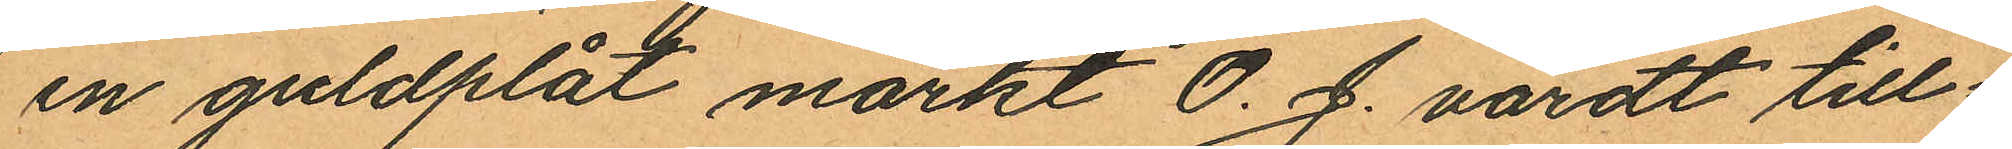en guldplåt märkt O. J. värdt till¬
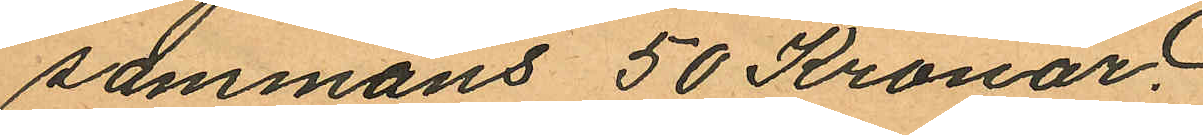sammans 50 Kronor.
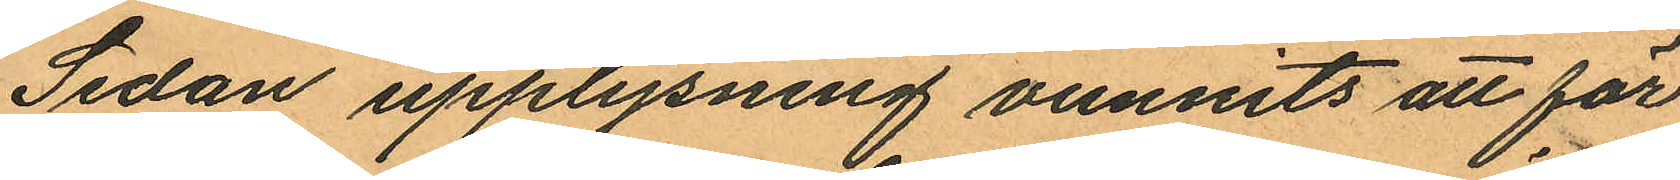Sedan upplysning vunnits att för
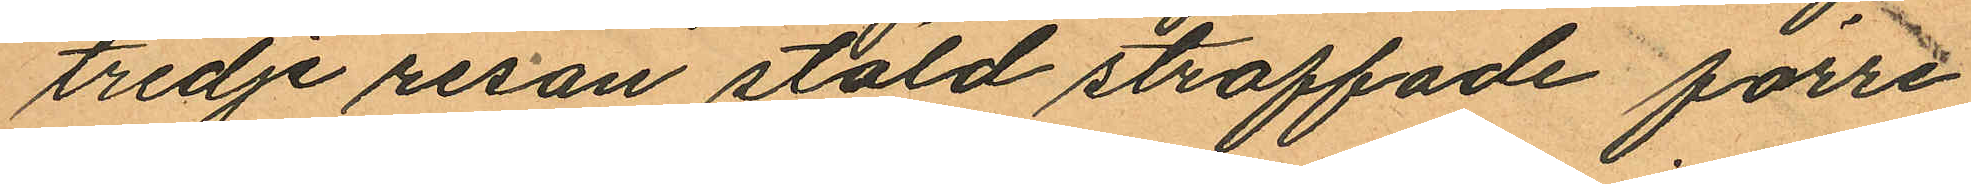tredje resan stöld straffade förre
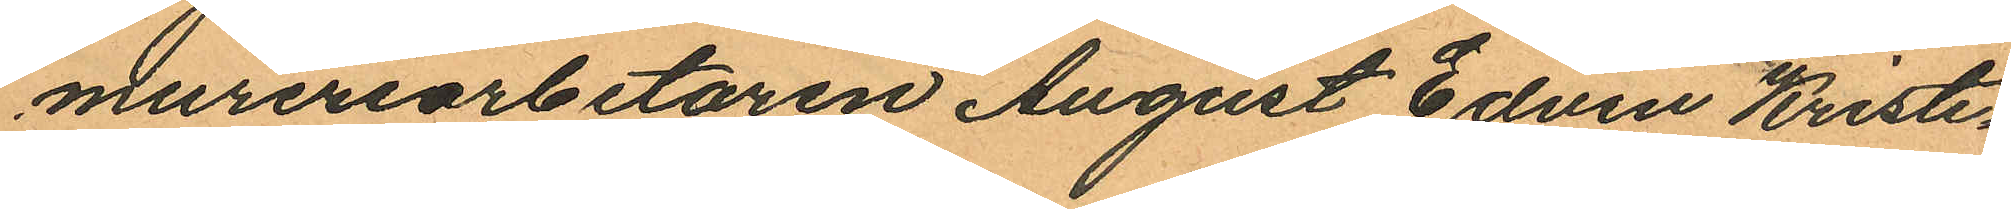mureriarbetaren August Edvin Kristi¬
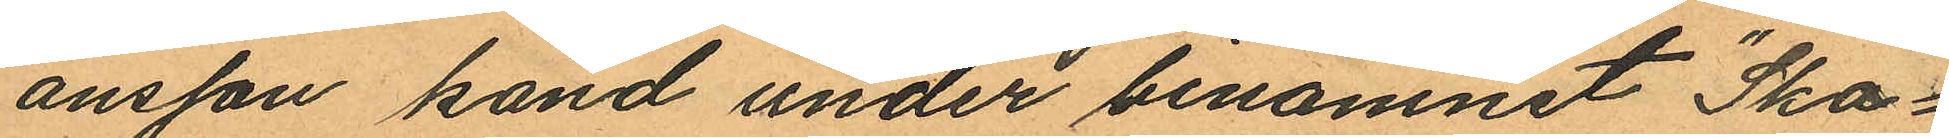ansson känd under binamnet "Ska¬
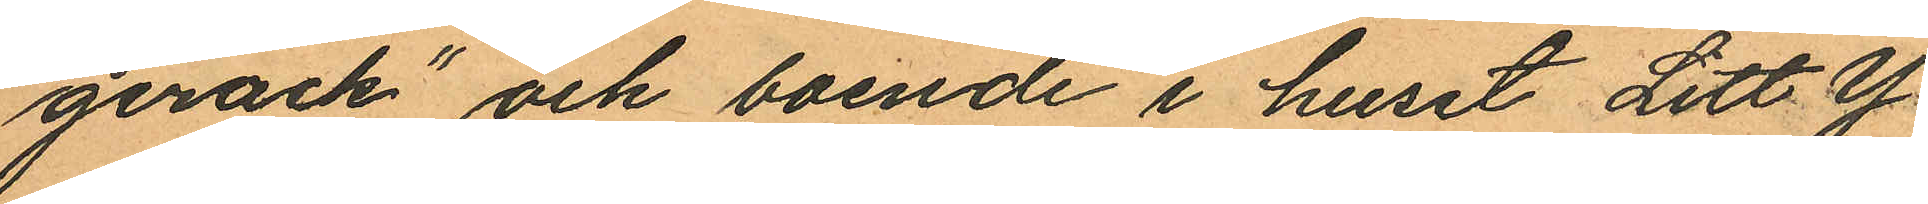gerack" och boende i huset Litt Y
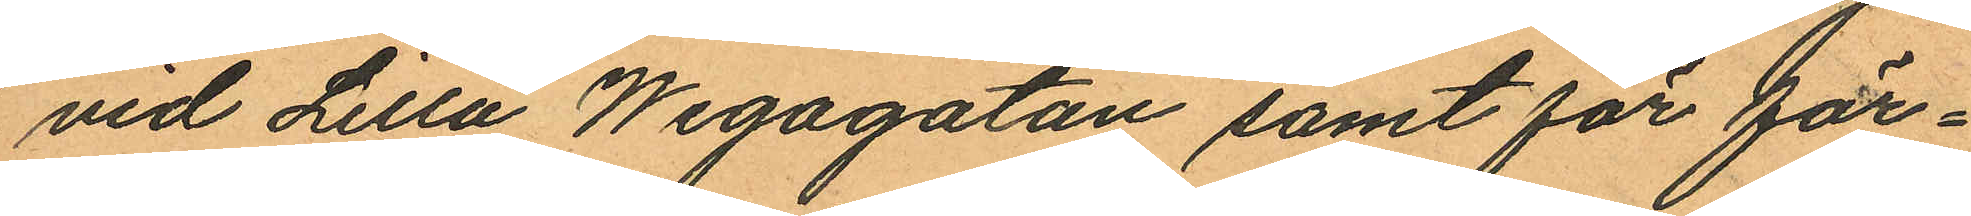vid Lilla Wegagatan samt för för¬
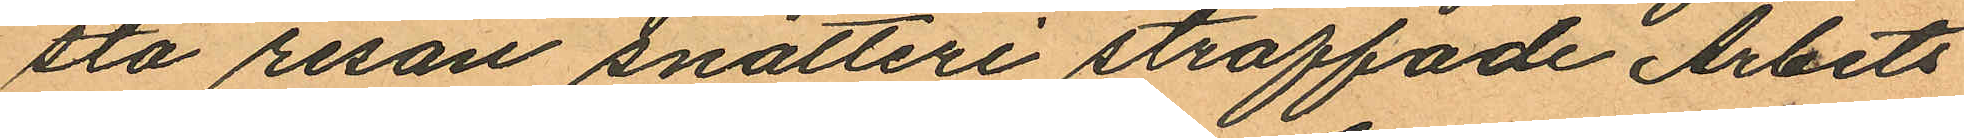sta resan snatteri straffade Arbets
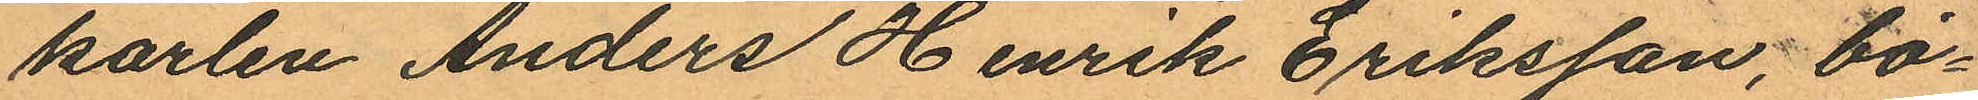karlen Anders Henrik Eriksson, bo¬
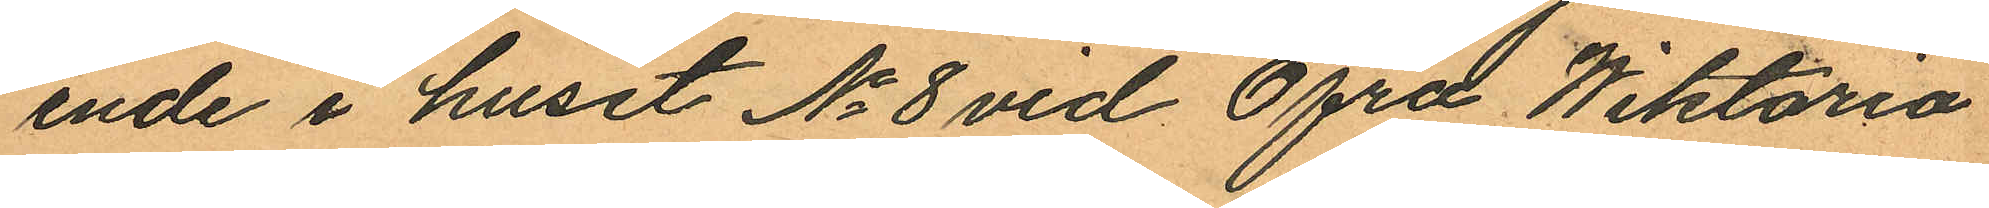ende i huset No 8 vid Öfre Wiktoria
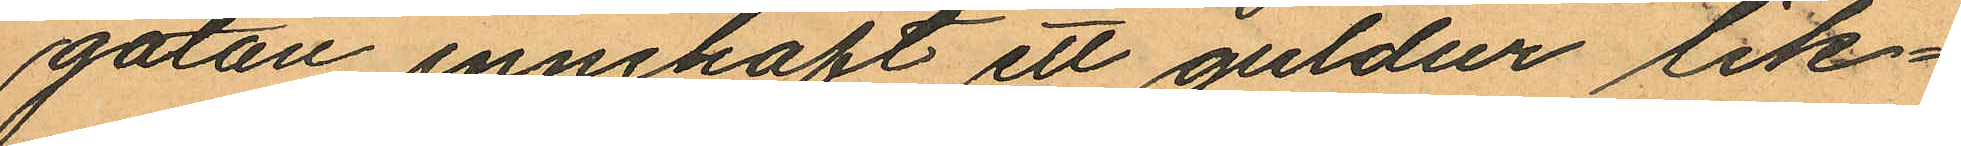gatan innehaft ett guldur lik¬
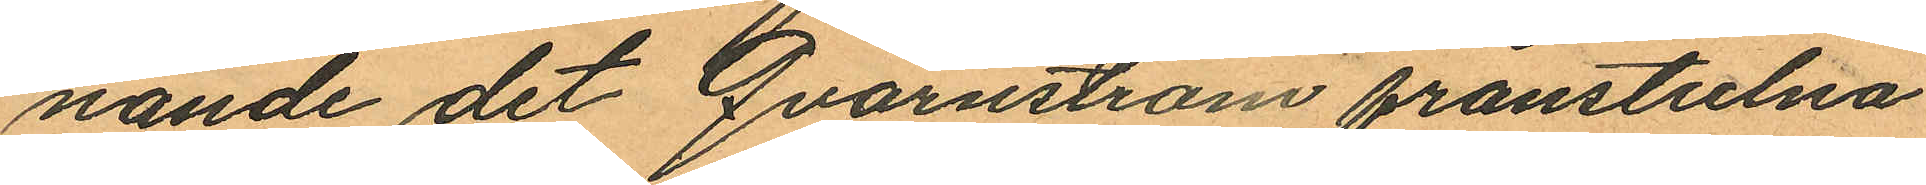nande det Qvarnström frånstulna
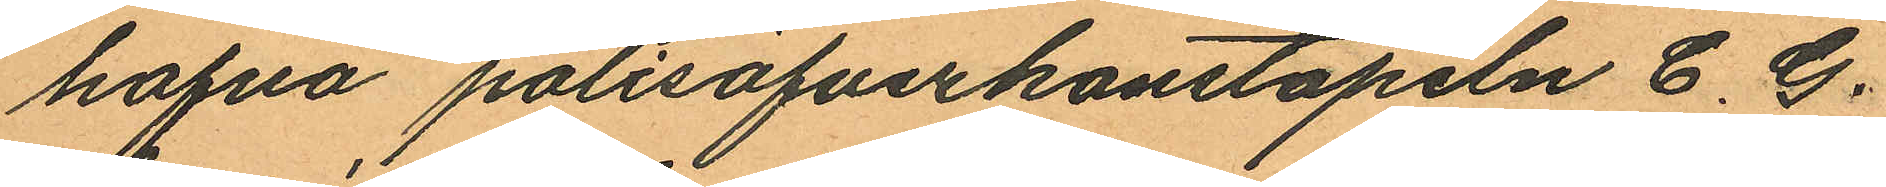hafva polisöfverkonstapeln C. G.
